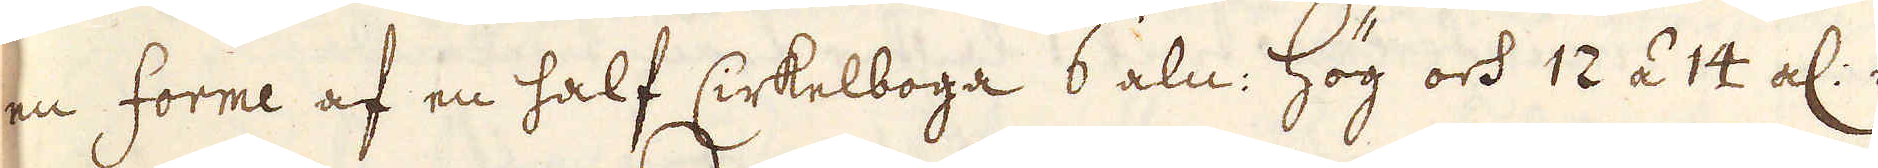en forme af en half Cirkelboga 6 aln: hög och 12 á 14 al: i
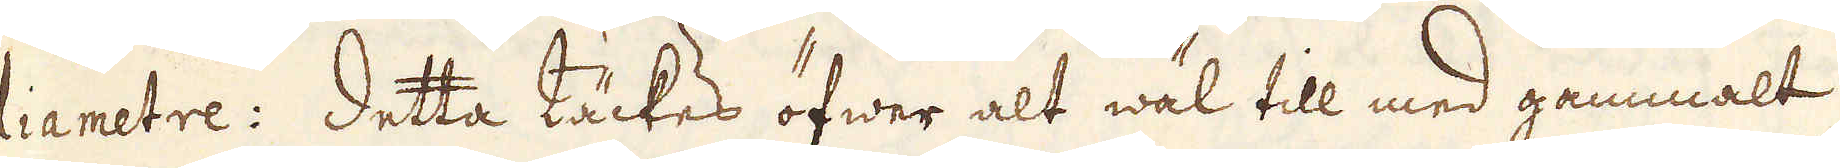diametre: Detta täckes öfwer alt wäl till med gammalt
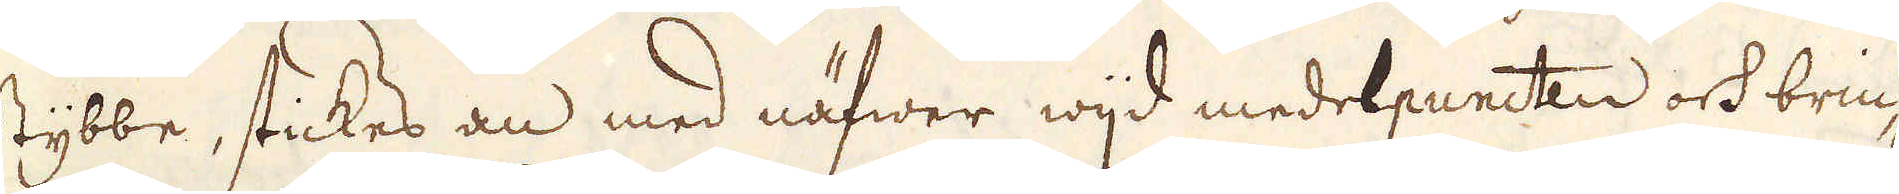Stybbe, stickes an med näfwer wijd medelpuncten och brin-
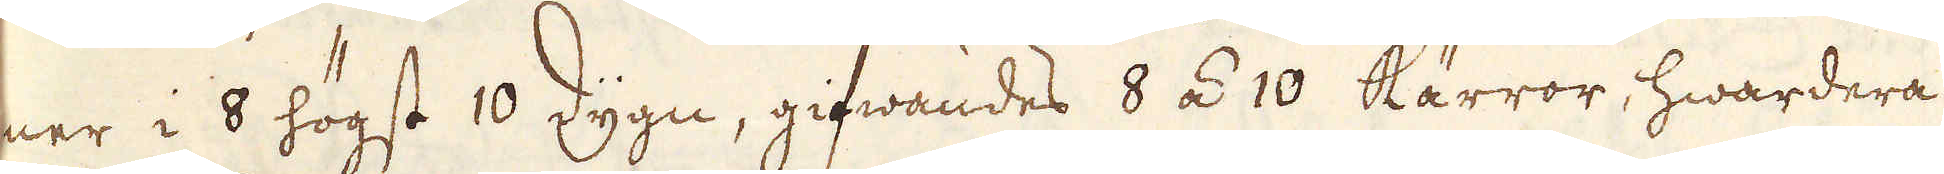ner i 8 högst 10 dygn, gifwandes 8 á 10 Kärror, hwardera
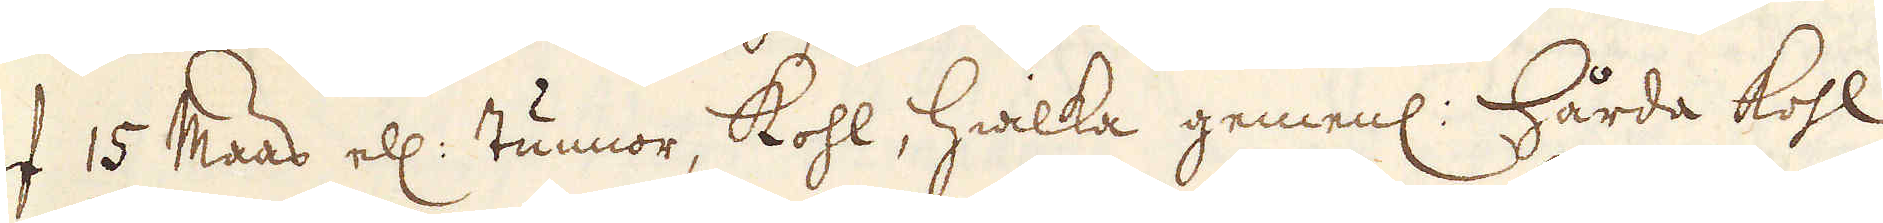af 15 Maas ell: tunnor, Kohl, hwilka gemenl: Hårda kohl
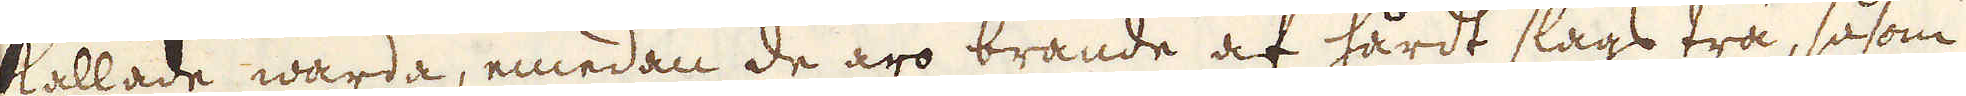kallade warda, emedan de äro brände af hårdt slags trä, såsom
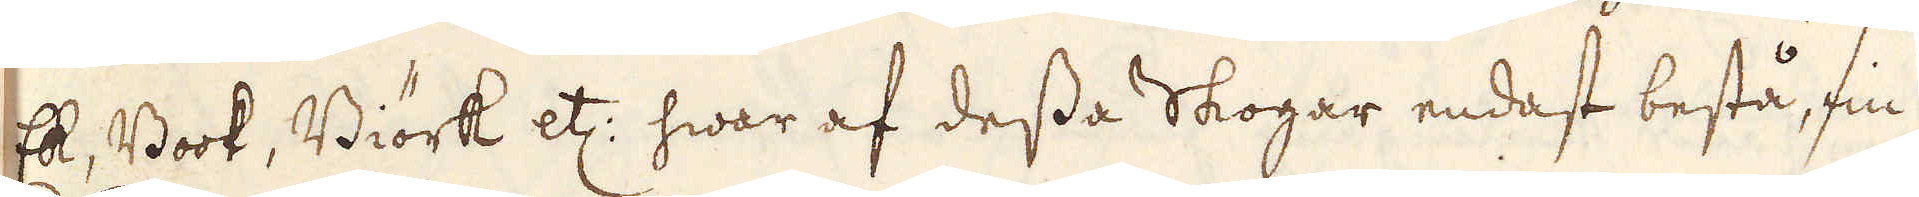Ek, Book, Biörk etc: hwar af dessa Skogar endast bestå, fin-
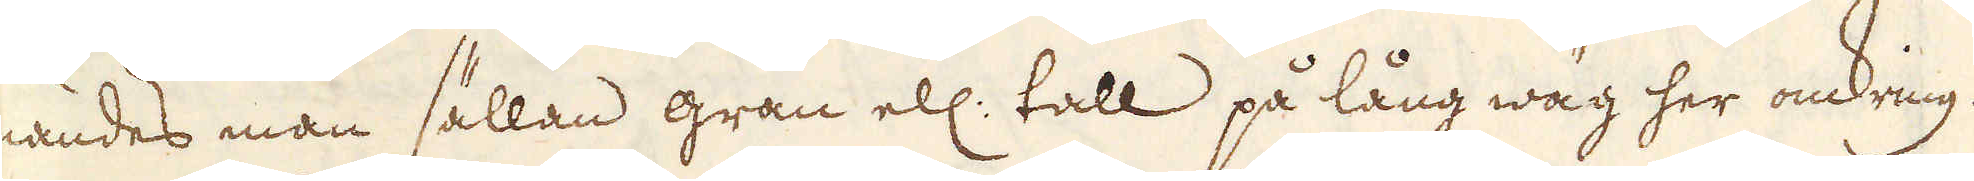nandes man sällan gran ell: tall på lång wäg her omkring.
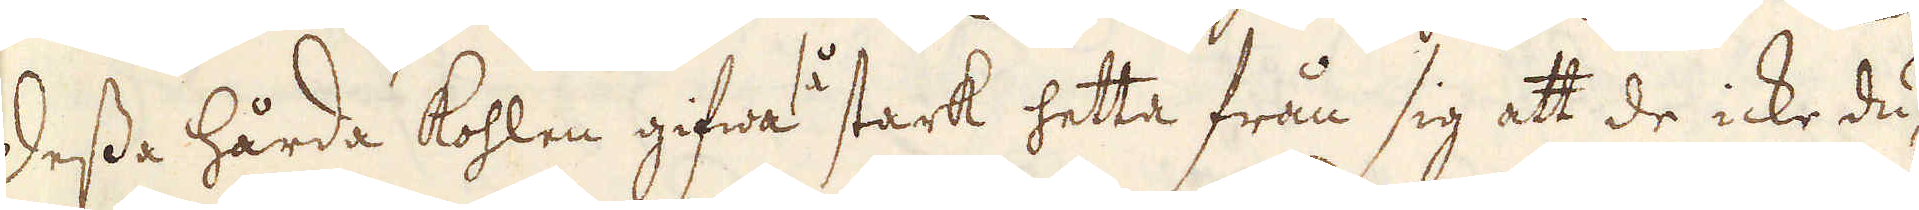Dessa hårda Kohlen gifwa så stark hetta från sig att de icke du-
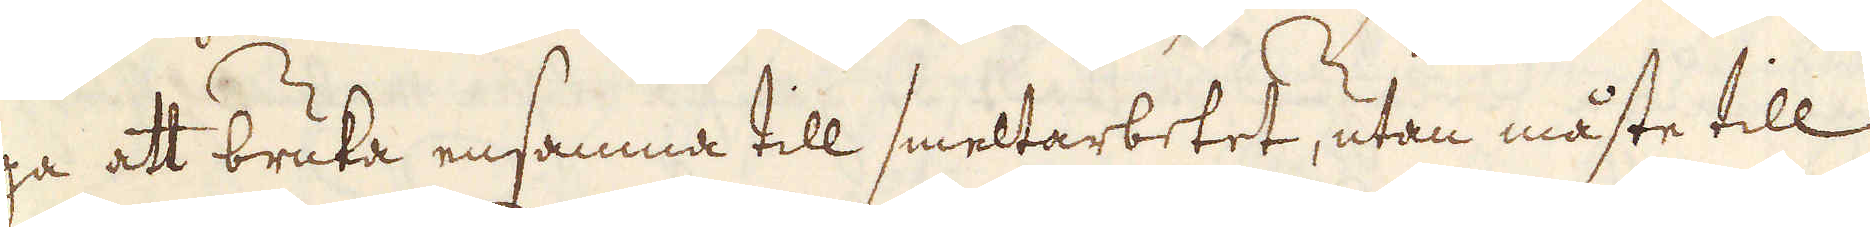ga att bruka ensamna till smeltarbetet, utan måste till
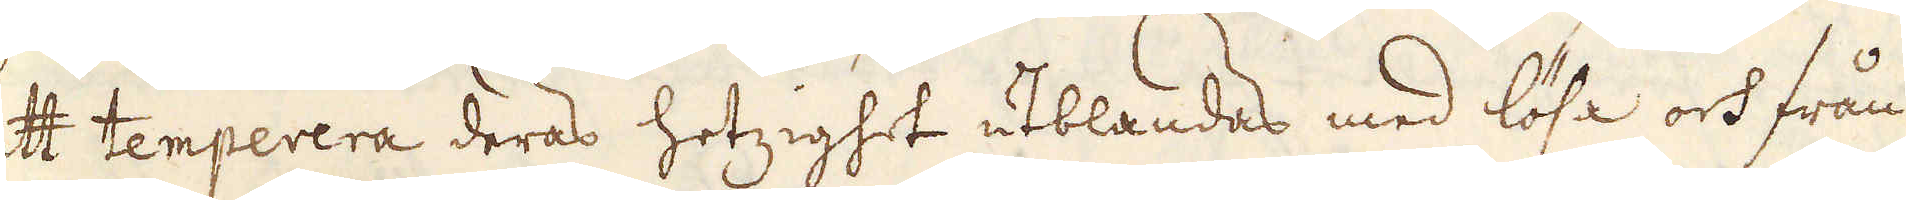att temperera deras hetzighet utblandas med lösa och från
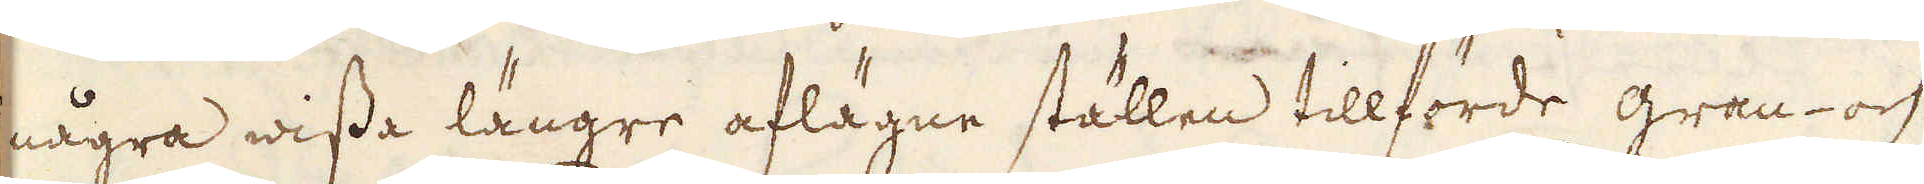några wissa längre aflägne ställen tillförde gran- och
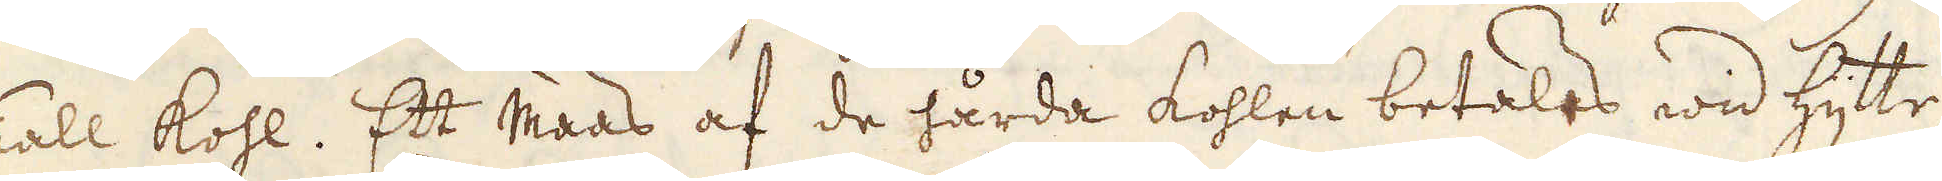Tall kohl. Ett maas af de hårda kohlen betalas wid hytte-
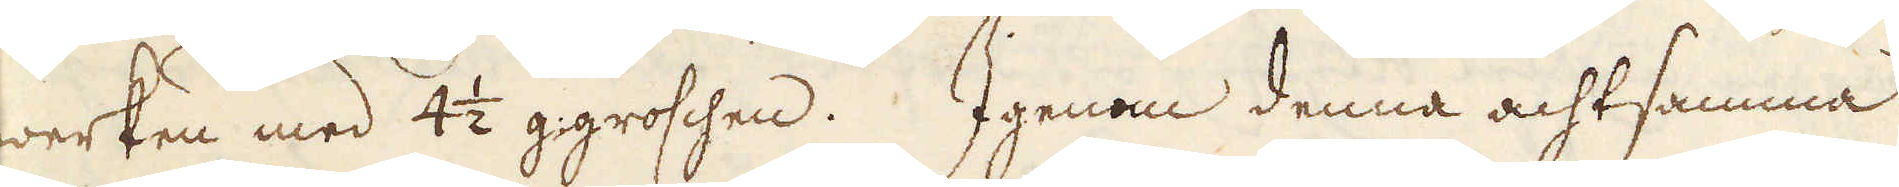werken med 4 1/2 g: groschen. Igenom denna achtsamma
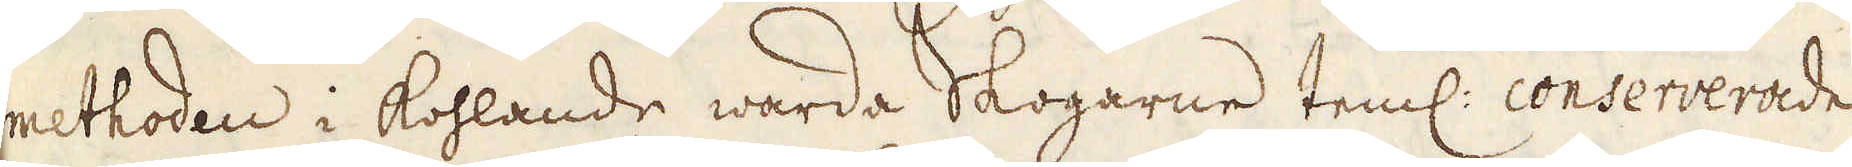methoden i kohlande warde Skogarne teml: conserverade,
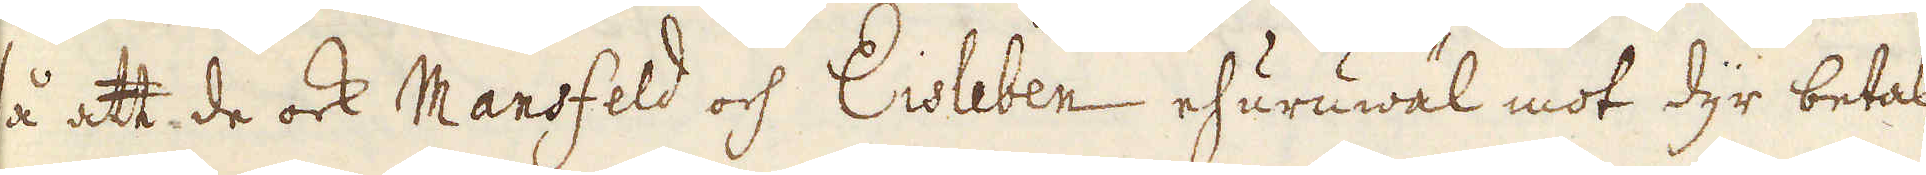så att de ock Mansfeld och Eisleben ehuruwäl mot dyr betal-
